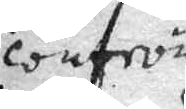confron¬
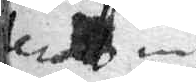terad medh
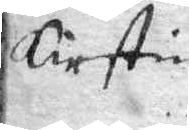Kirstin
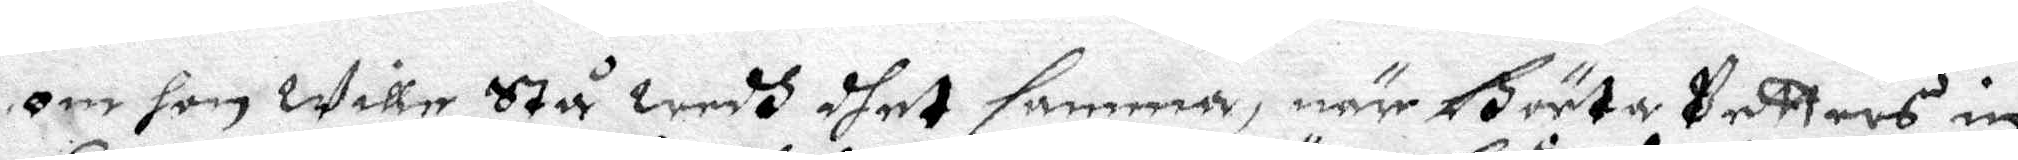om hon wille Stå wedh dhet samma, när Börtha Petters in¬
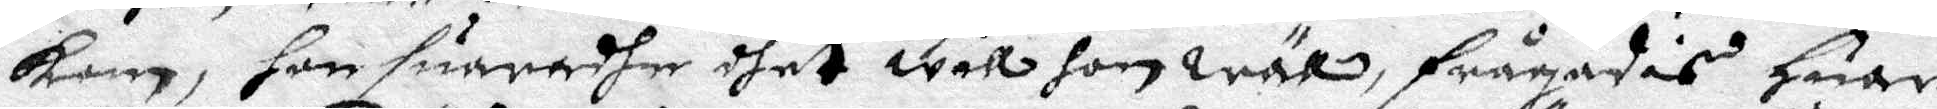kom, hon suaradhe dhet will hon wäll, frågades Huar
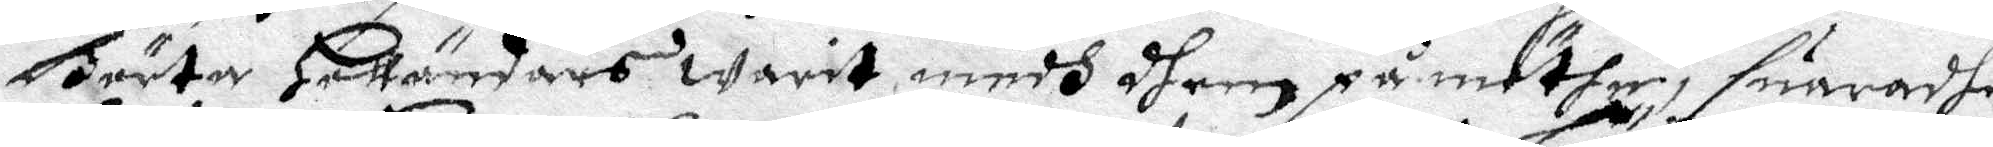Börta Holländars warit medh dhem på möthe, suaradhe
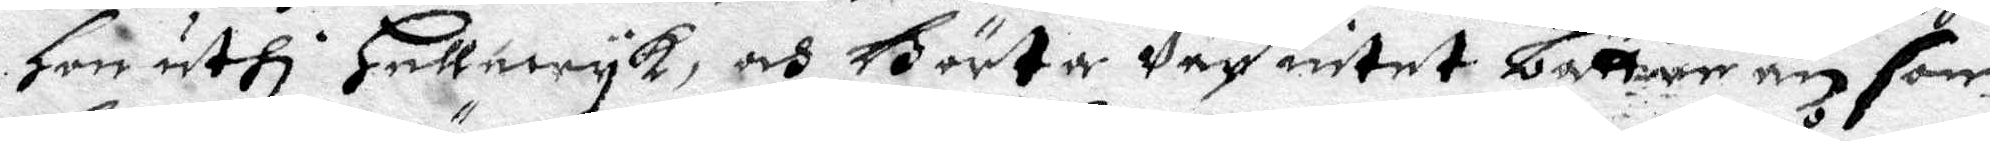Hon uthi Heööewyk, och Börta Var intet bättre än som
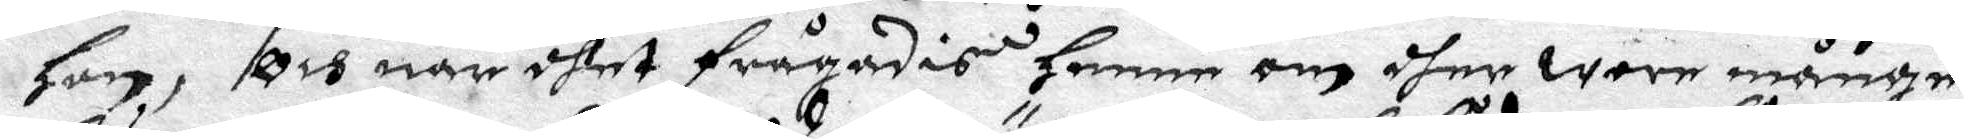Hon, Och när dhet frågades henne om dher wore månge,
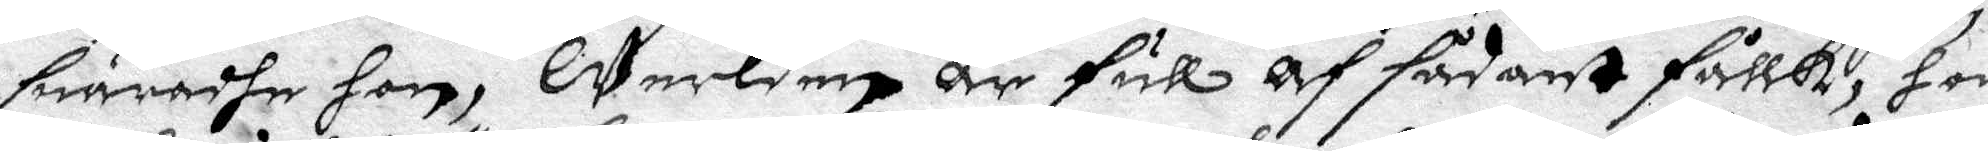suaradhe hon, Werlden är full af sådant follk, hon
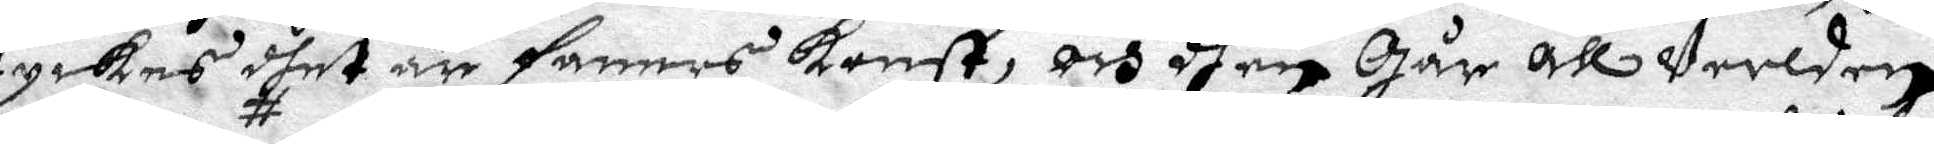tyckes dhet är faners konst, och them Går all Verlden
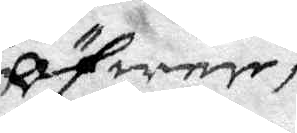öfwer
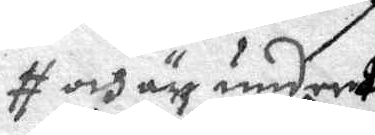och är under
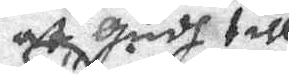at Gudh till¬
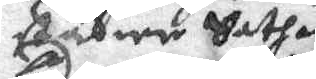städier Sathan
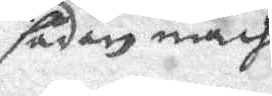sådan macht
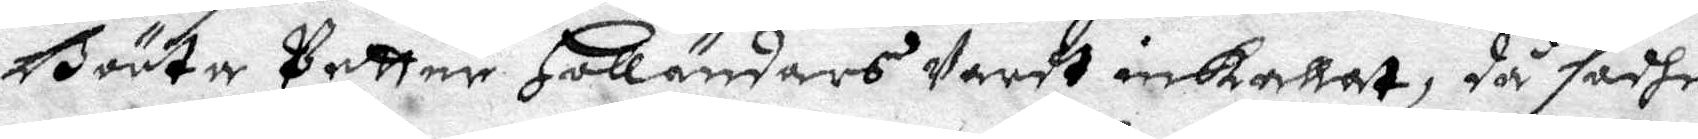Börta Petter Holländars Vardt inkallat, då sadhe
